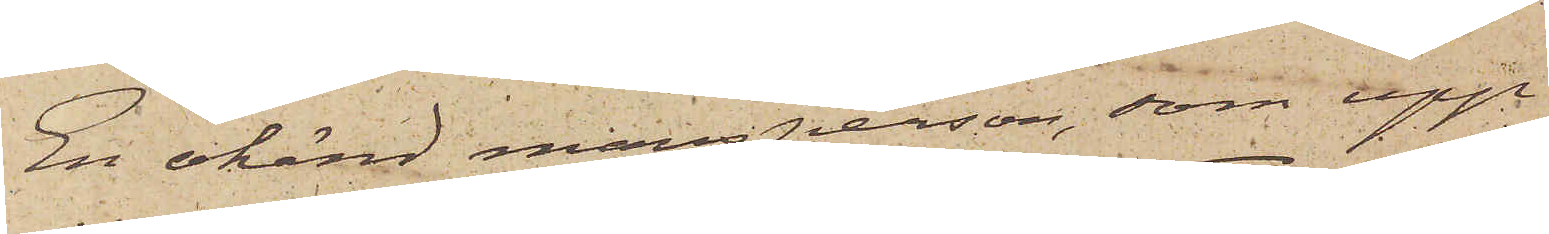En okänd mansperson, som upp¬
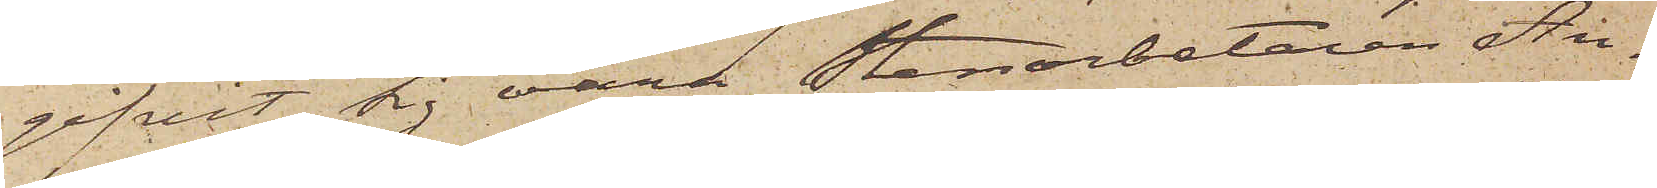gifvit sig vara Stenarbetaren An¬
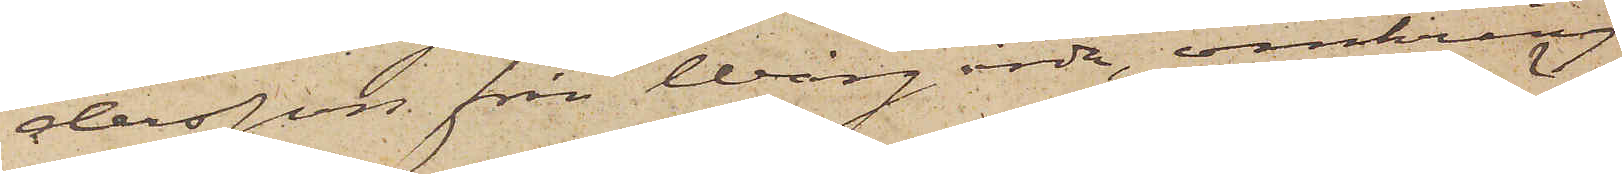dersson från Wårgårda, omkring
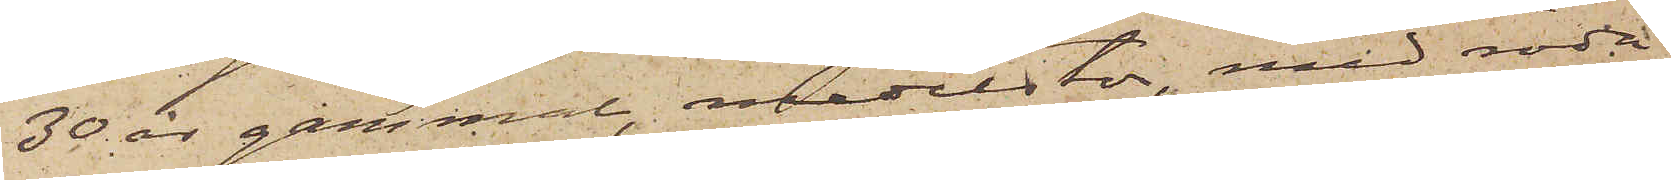30 år gammal, medelstor, med röda
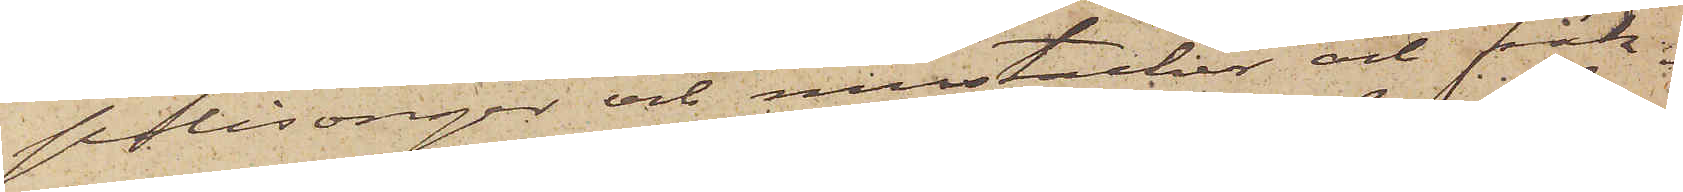polisonger och mustacher och fräk¬
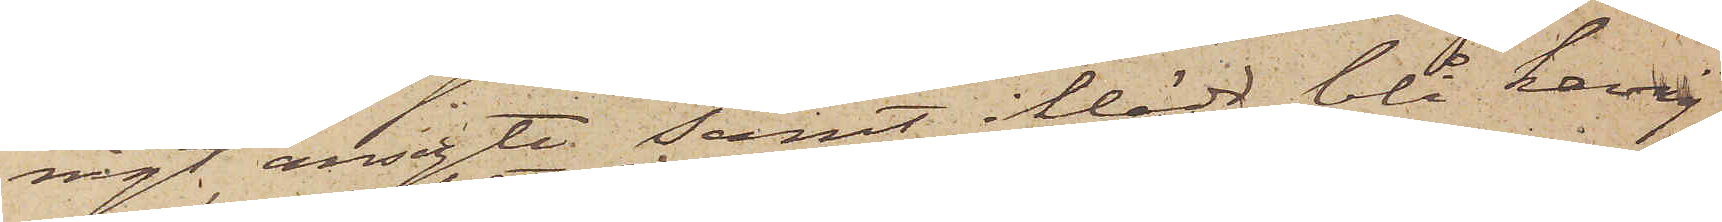nigt ansigte samt iklädd blå kavaj
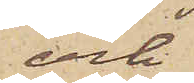och
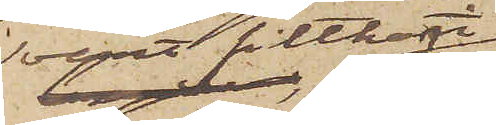svart filthatt
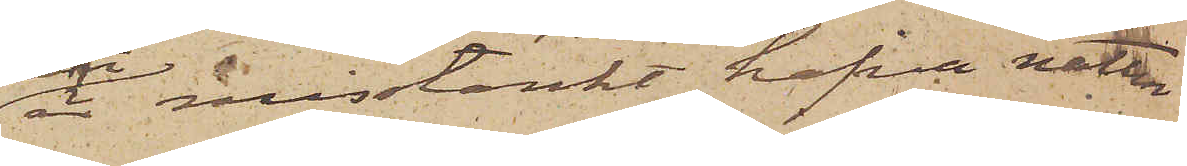är misstänkt hafva natten
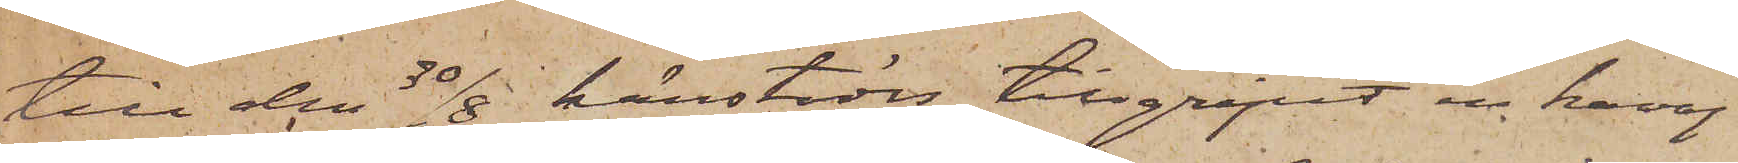till den 30/8 härstädes tillgripit en kavaj
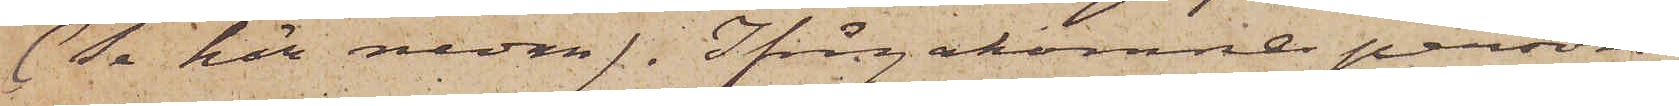(Se här nedan). Ifrågakomne person,
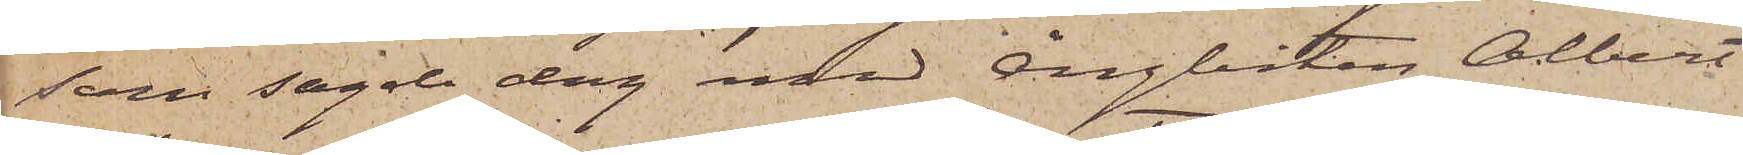som sagde dag med ångbåten Albert
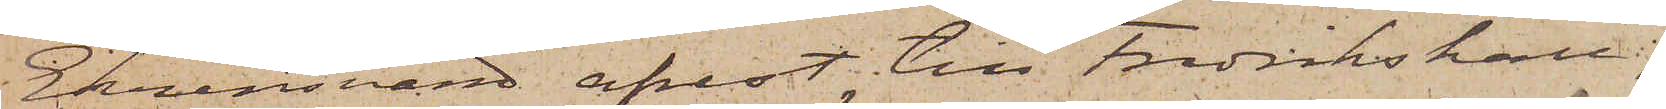Ehrensvärd afrest till Fredrikshall,
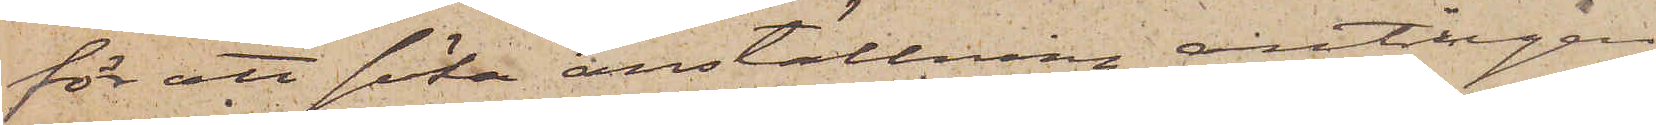för att söka anställning, antingen
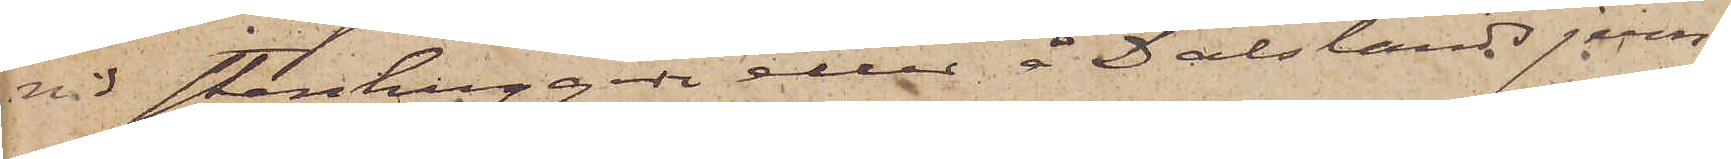vid Stenhuggeri eller å Dalslands jern¬
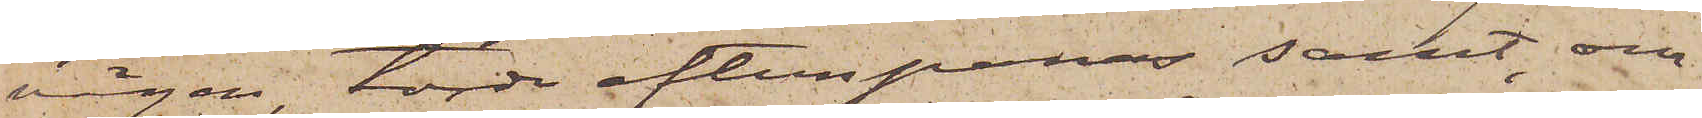vägen, torde efterspanas samt, om
